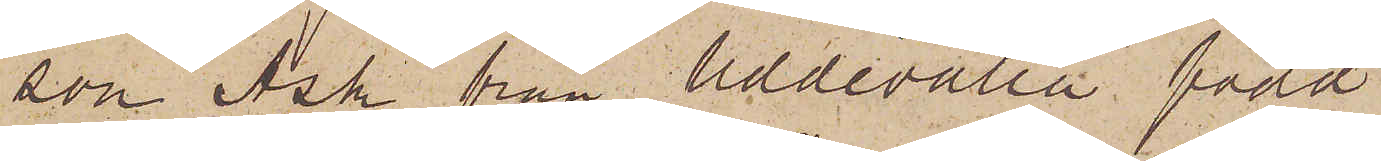son Ask från Uddevalla född
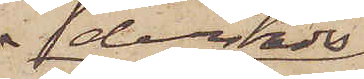derstädes
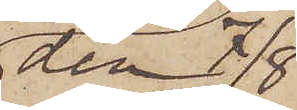den 7/8
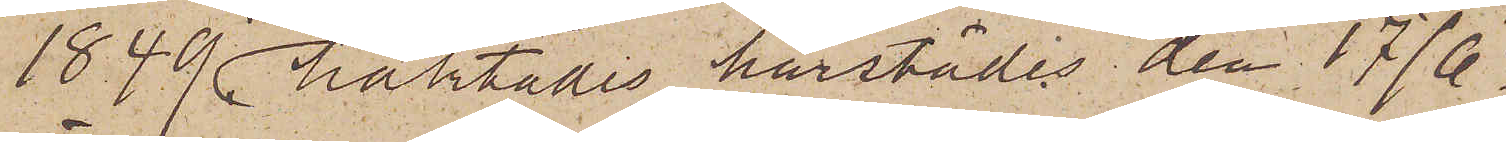1849 häktades härstädes den 17/6,
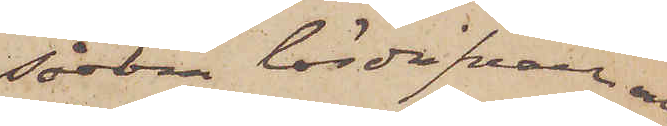såsom lösdrifvare och
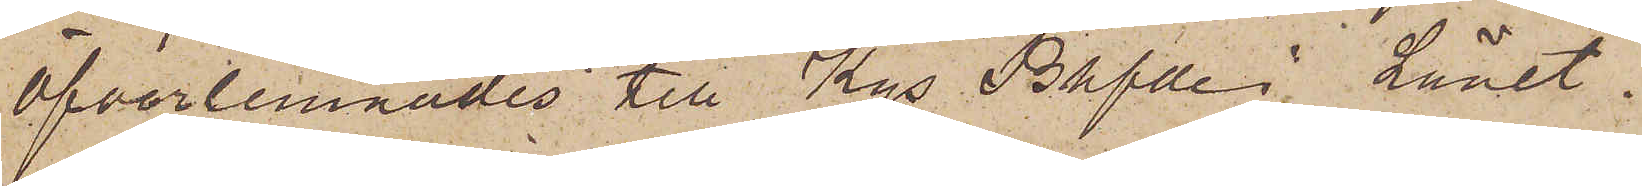öfverlemnades till Kgs Bhfde i Länet.
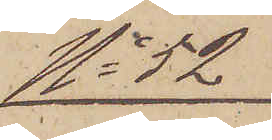No 52
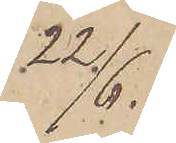22/6.
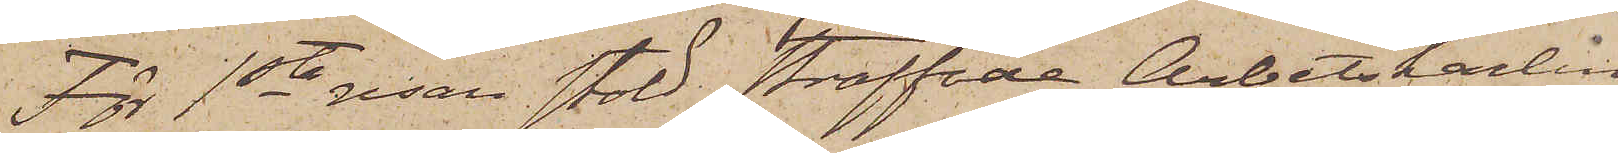För 1sta resan stöld straffade Arbetskarlen
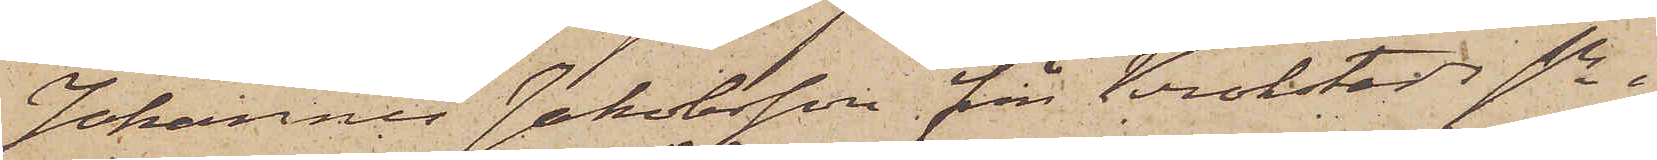Johannes Jakobsson från Krokstads sn i
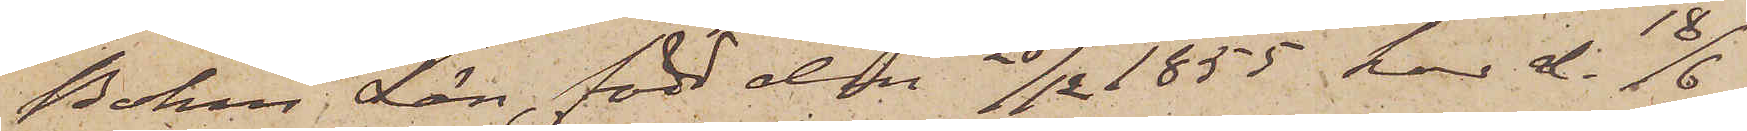Bohus Län, född den 26/12 1855 har d 18/6
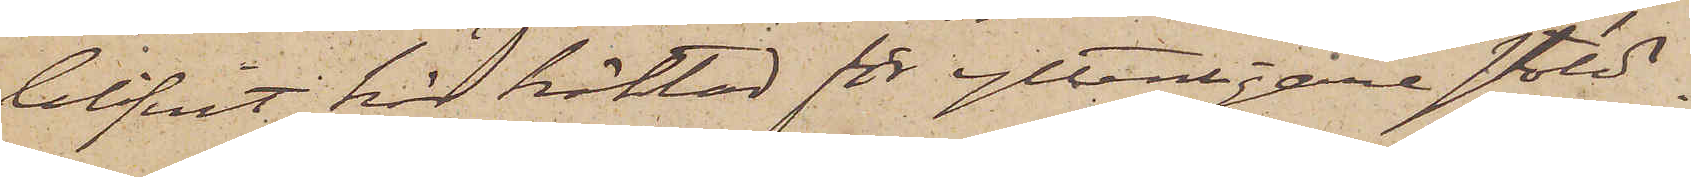blifvit här häktad för ytterligare stöld
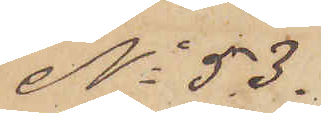No 53.
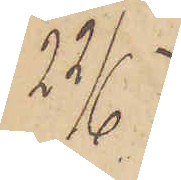22/6
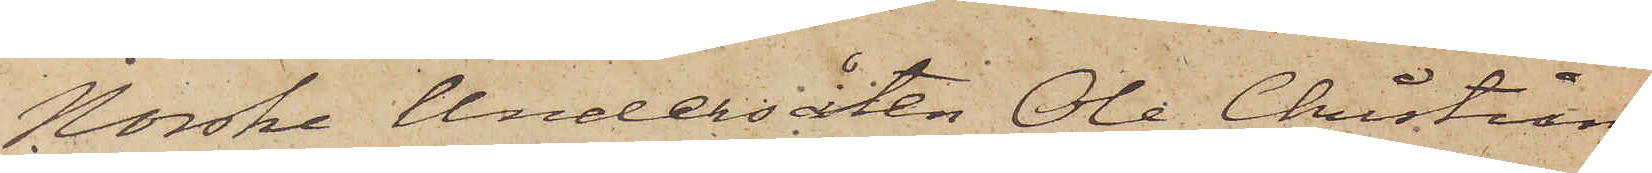Norske Undersåten Ole Christian
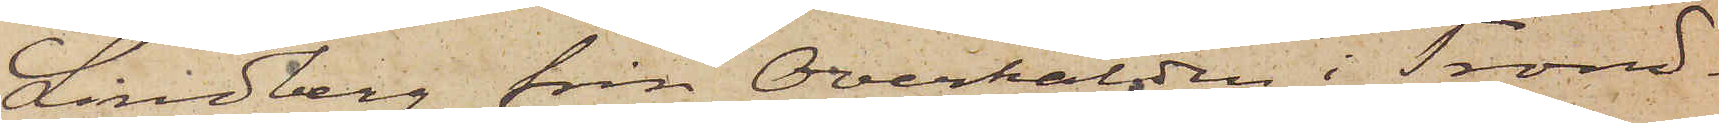Lindberg från Overhalden i Trond¬
